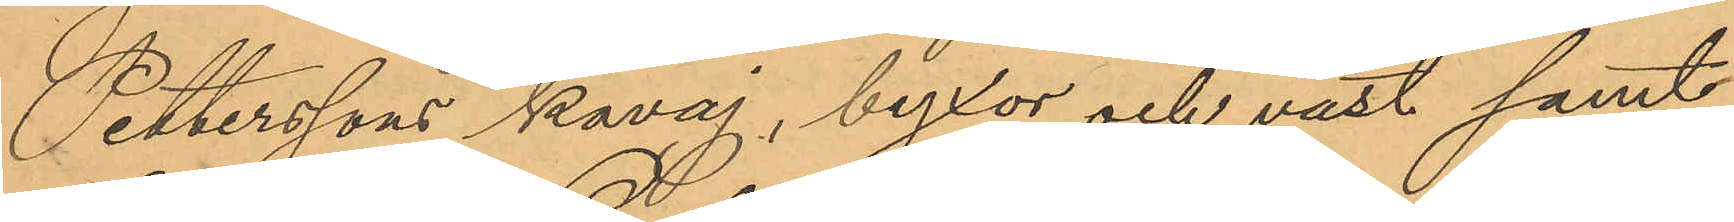Petterssons kavaj, byxor och väst samt
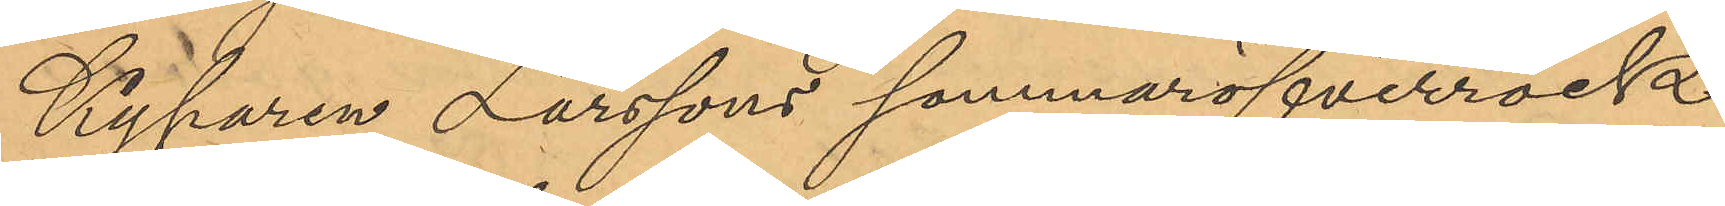Kyparen Larssons sommaröfverrock
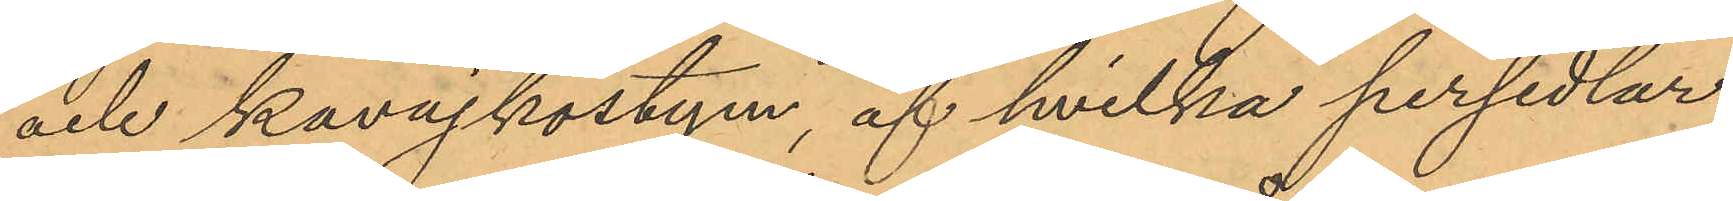och kavajkostym, af hvilka persedlar
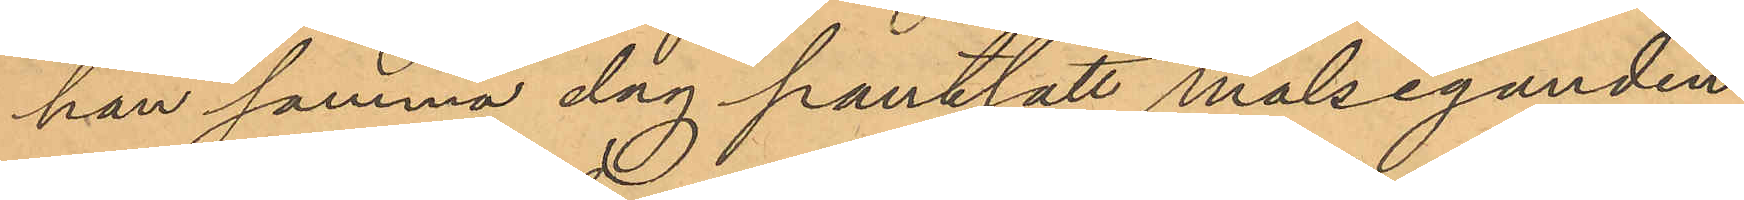han samma dag pantsatt målseganden
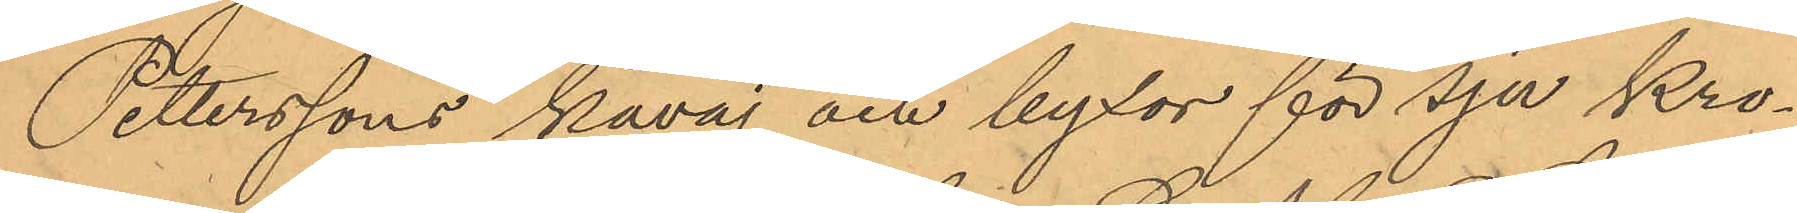Petterssons kavaj och byxor för sju Kro¬
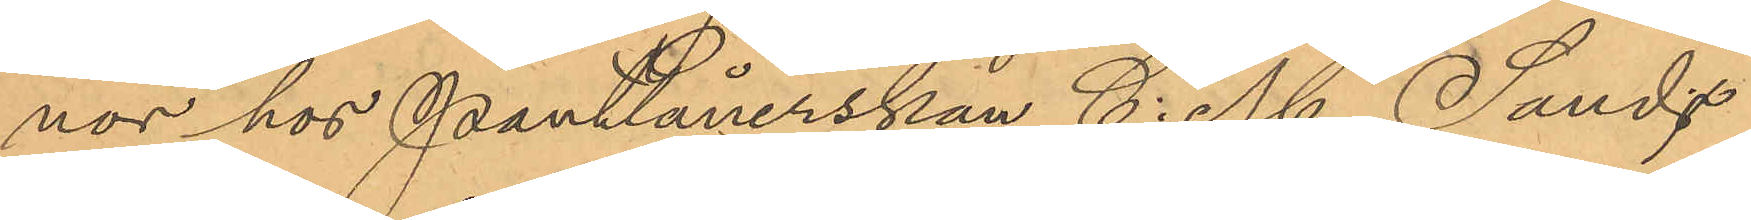nor hos Pantlånerskan C. M. Sand
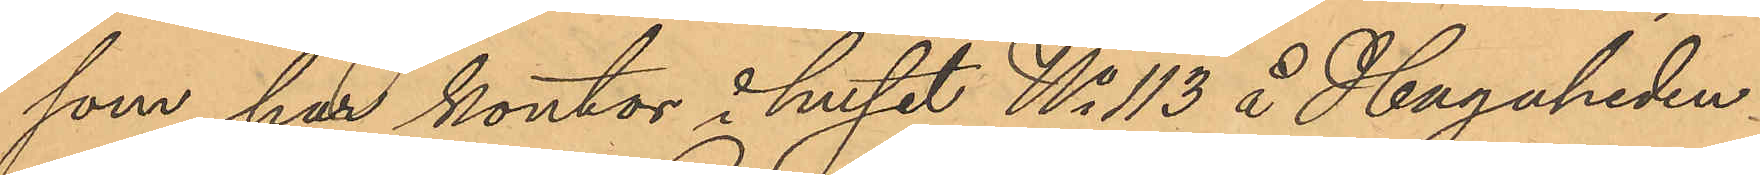som har kontor i huset No 113 å Hagaheden.
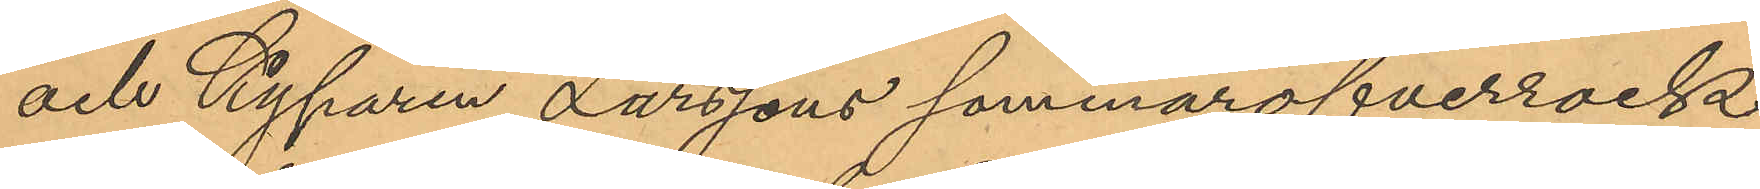och Kyparen Larssons sommaröfverrock
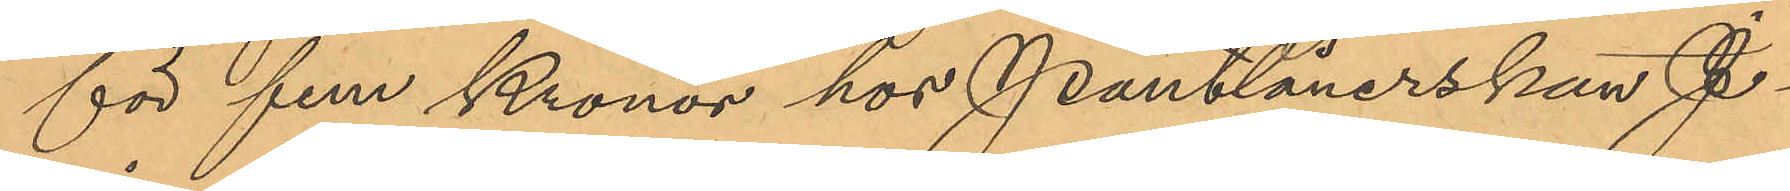för fem Kronor hos Pantlånerskan J
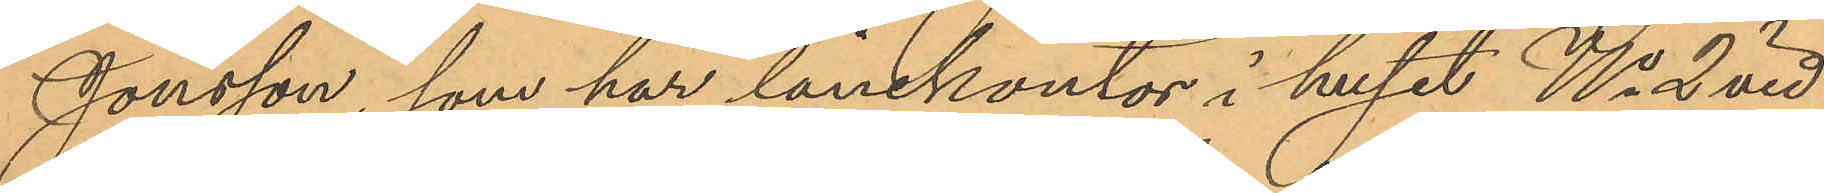Jonsson, som har lånekontor i huset No 2 vid
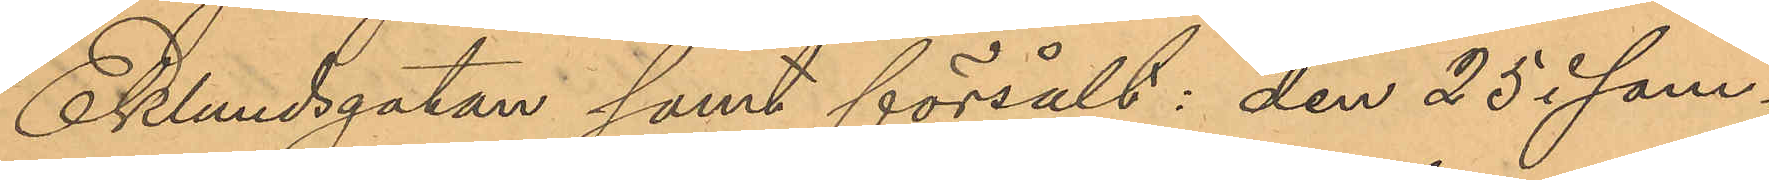Eklundsgatan samt försålt: den 25 i sam¬
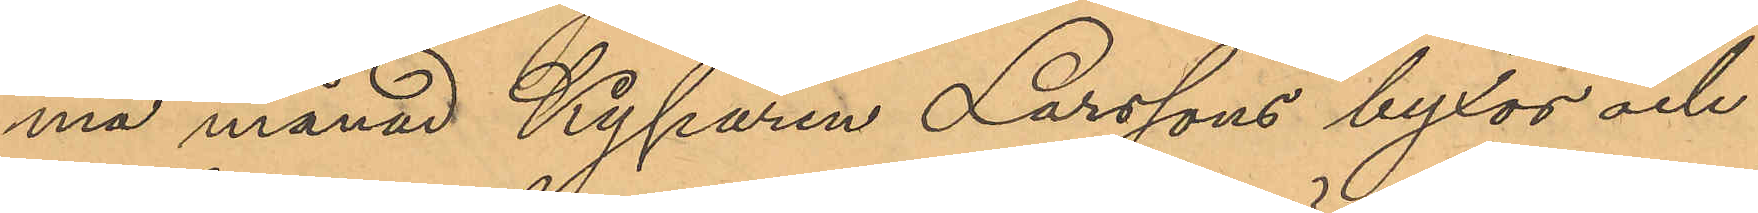ma månad Kyparen Larssons byxor och
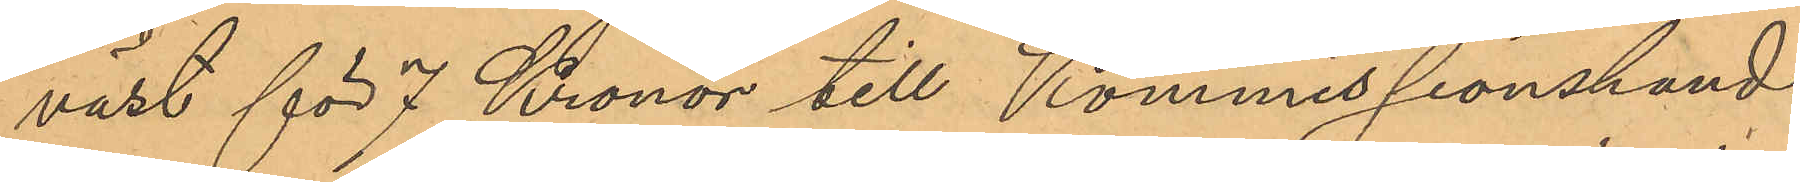väst för 7 Kronor till Kommissionshand¬
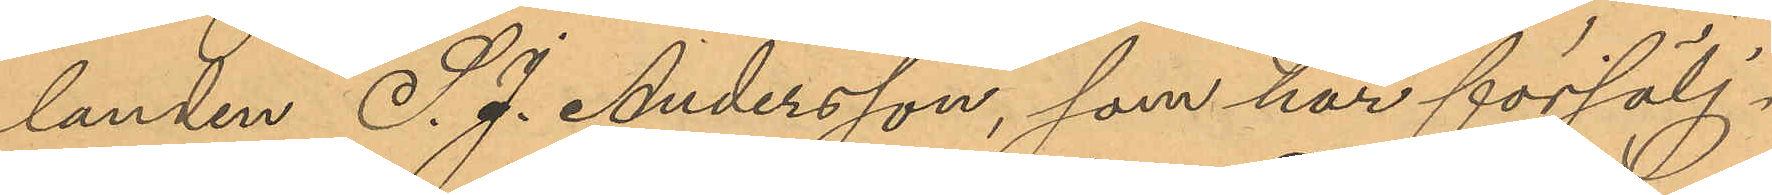landen S. J. Andersson, som har försälj¬
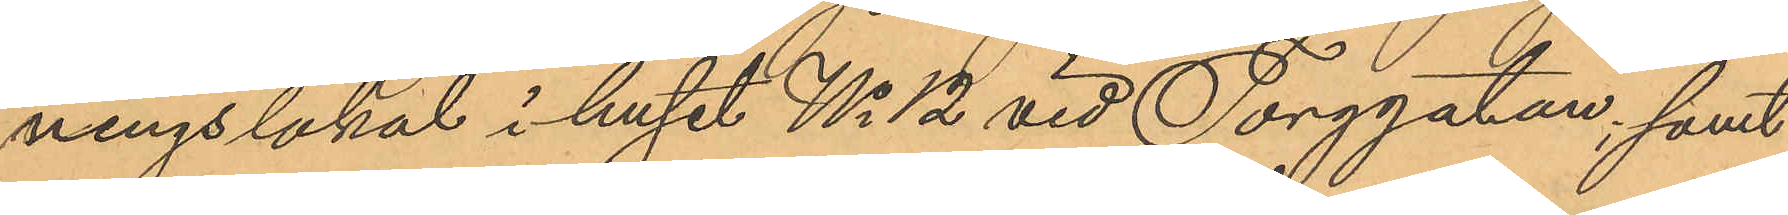ningslokal i huset No 12 vid Torggatan; samt
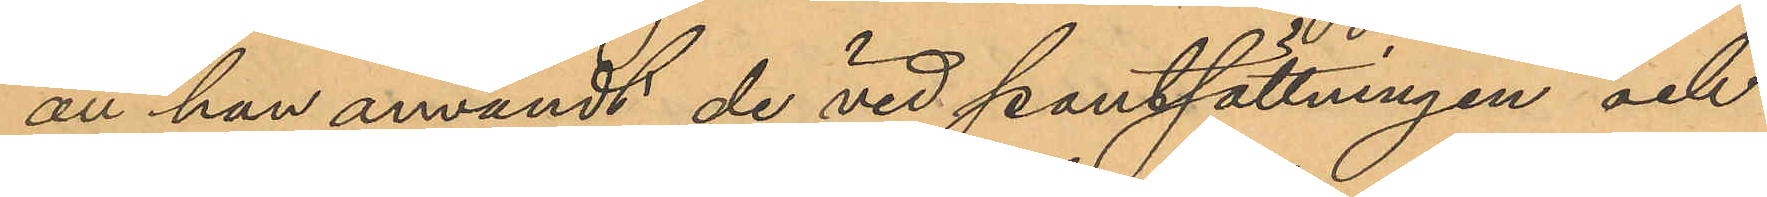att han användt de vid pantsättningen och
